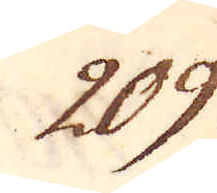209.
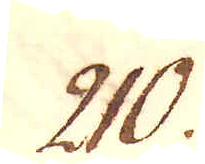210.
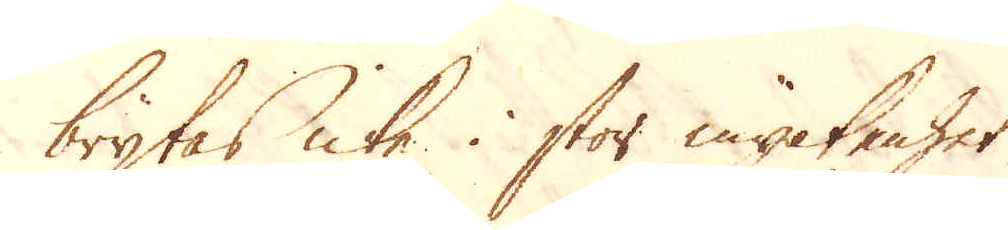brytas icke i stor myckenhet.
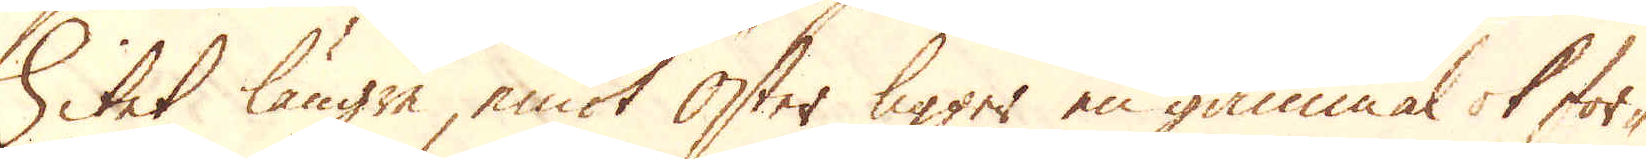Litet längre, emot Öster ligger en gammal ok for-
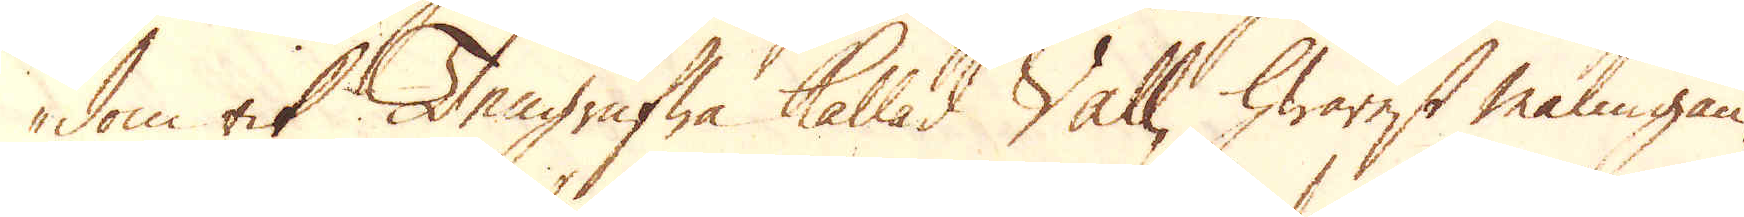dom rik Tengrufwa kallad Vall, hwarest malmgån-
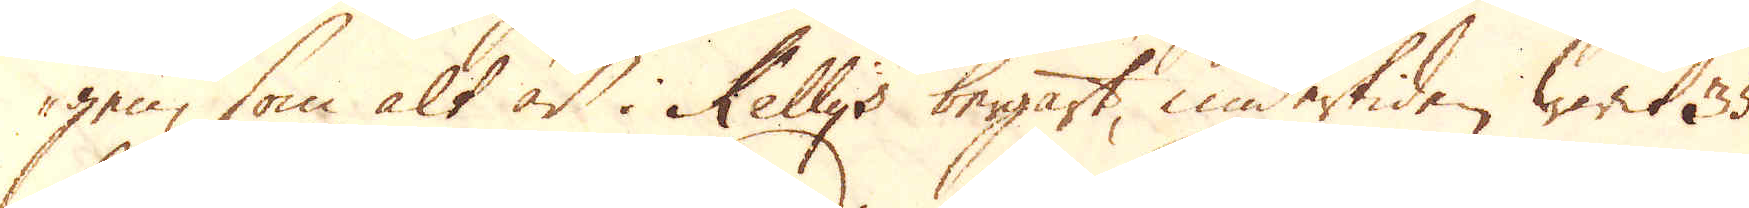gen, som alt är i Kellys bergart, undertiden warit 35
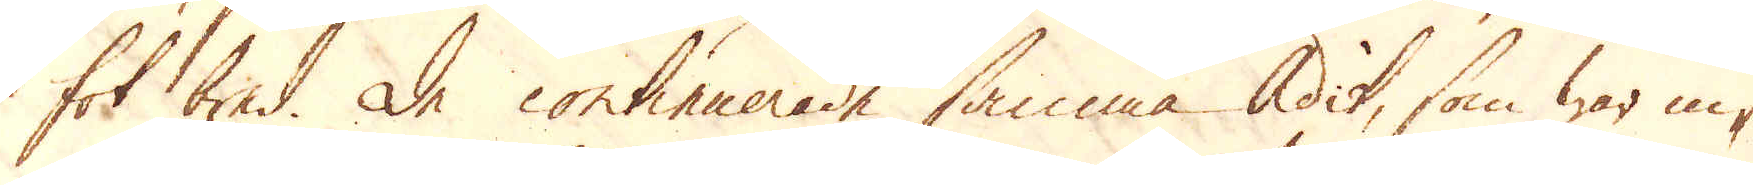fot bred. De continuerade samma Adit, som war in-
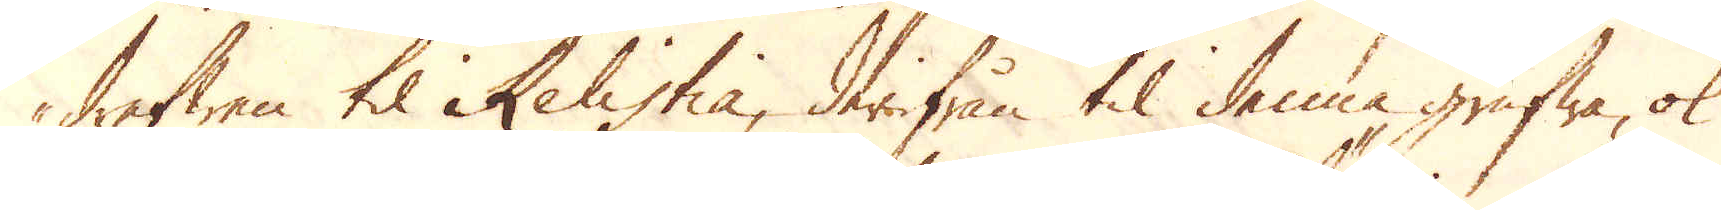drefwen til Relistia, derifrån til denna grufwa, ok
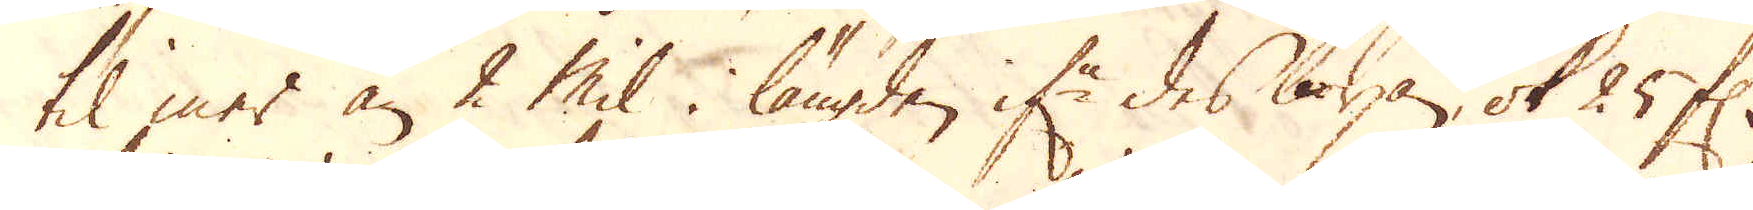til mer än 2 Mil i längden if:r des början, ok 25 f:r
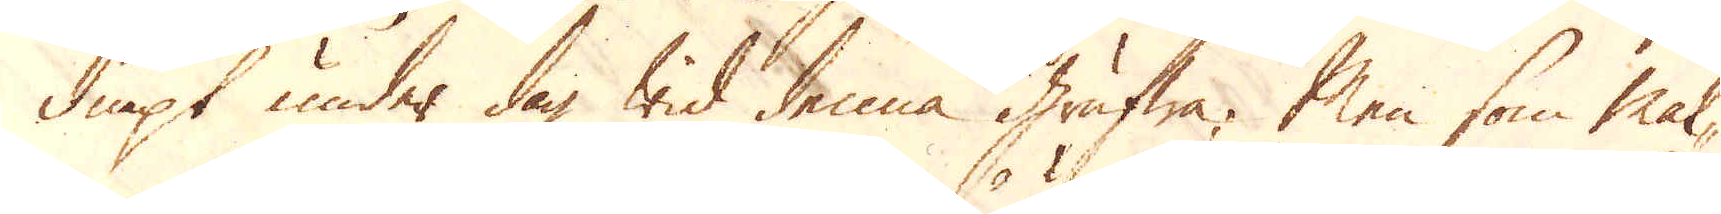diupt under dag wid denna grufwa. Men som mal-
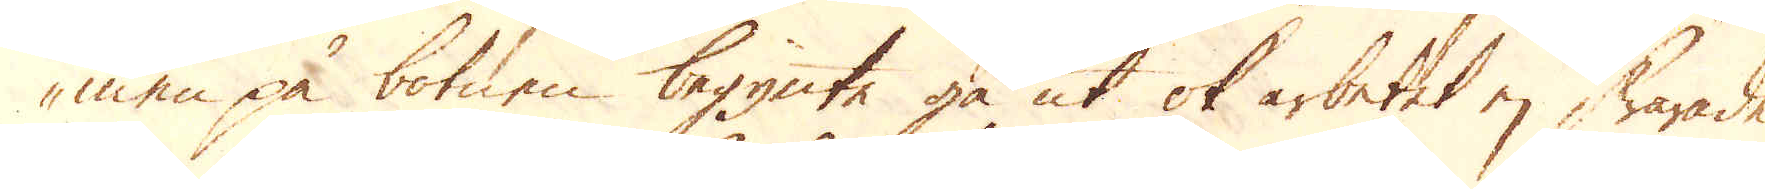men på botnen begynte gå ut ok arbetet ej warade
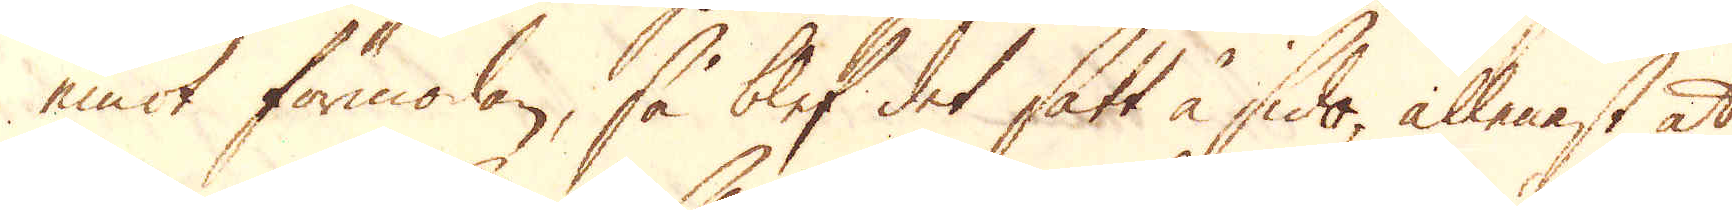emot förmodan, så blef det satt å sido, allenast at
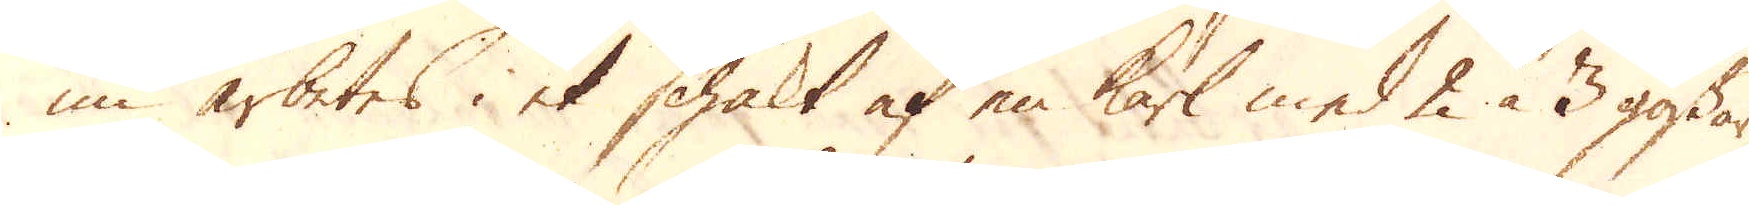nu arbetes i et schakt af en karl med 2 à 3 gossar
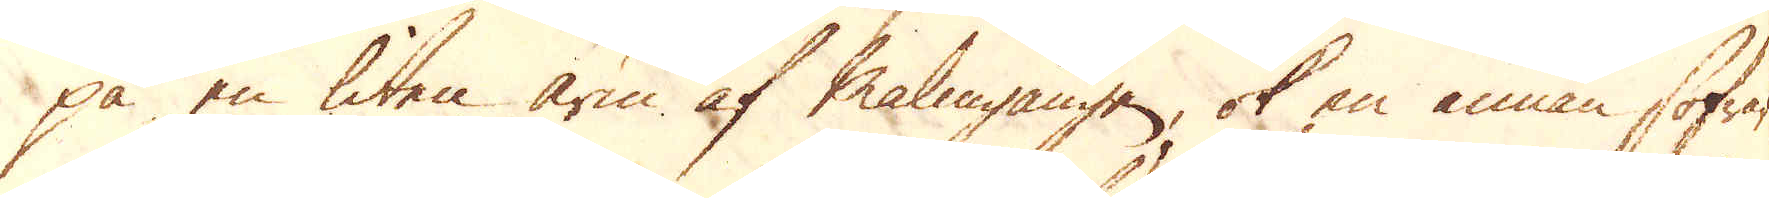på en liten arm af Malmgången, ok en annan sofrar
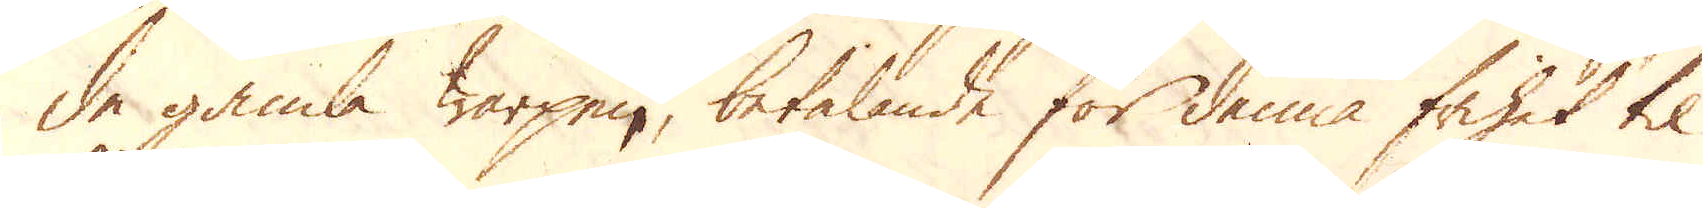de gamla warpen, betalande för denna frihet til
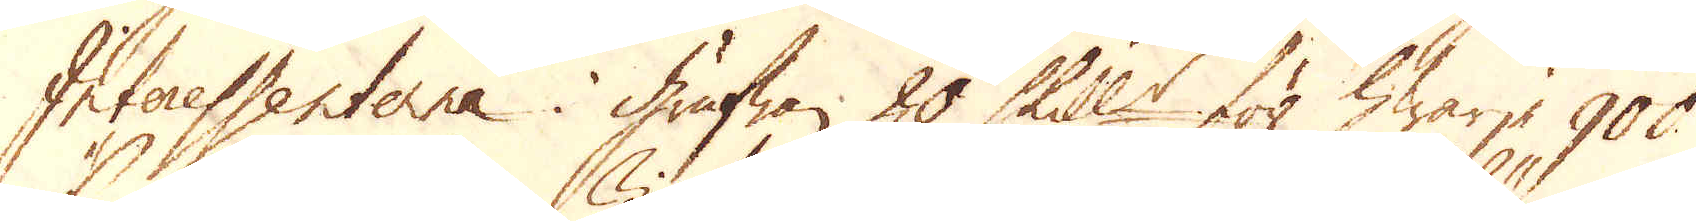Interessenterne i grufwan 20 Skill:r för hwarje 900
